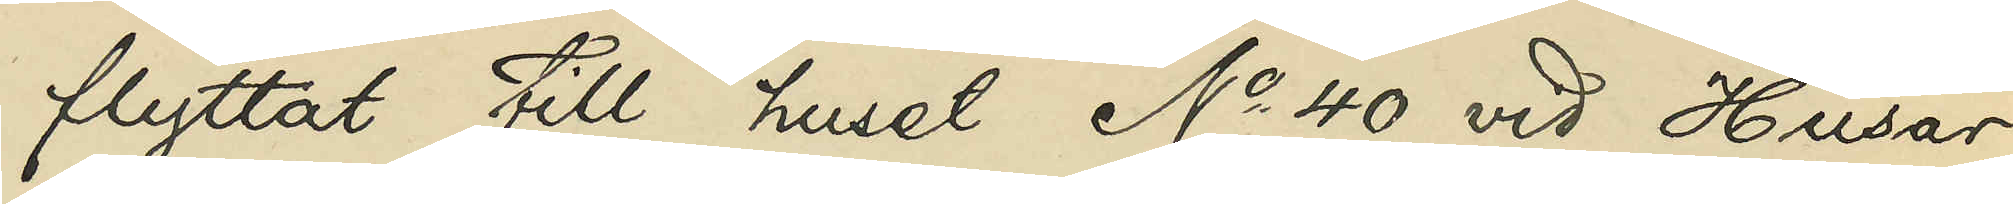flyttat till huset No 40 vid Husar¬
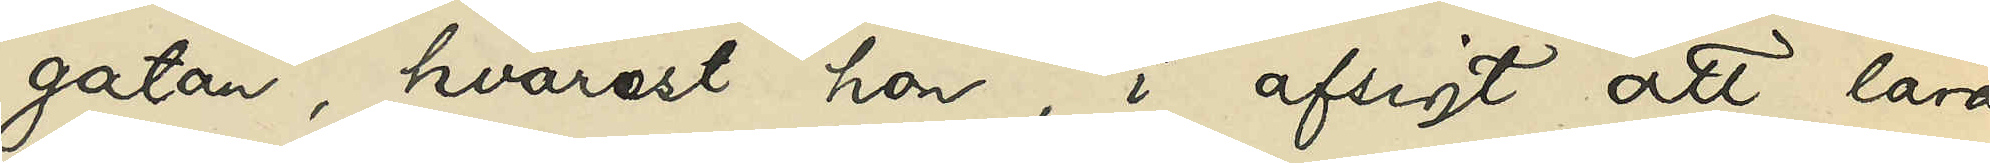gatan, hvarest hon, i afsigt att lära
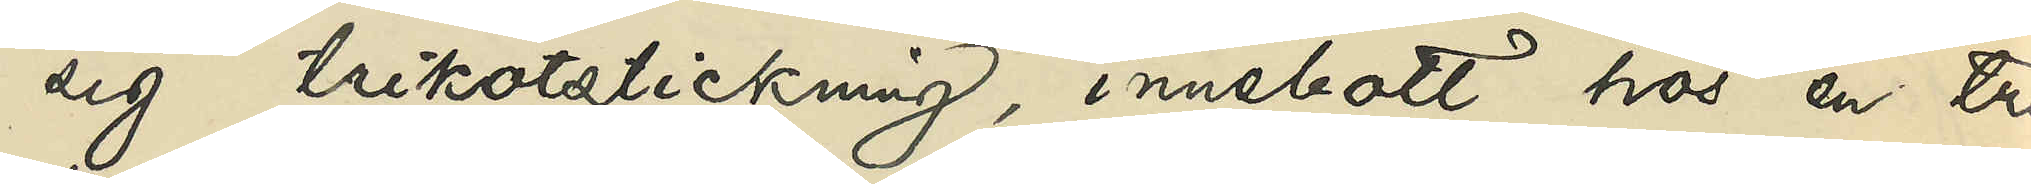sig trikotstickning, innebott hos en tri¬
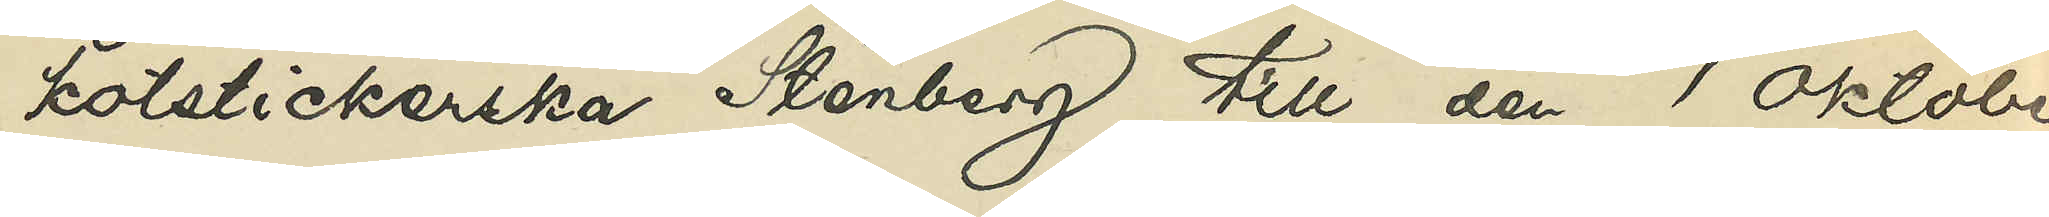kotstickerska Stenberg till den 1 Oktober
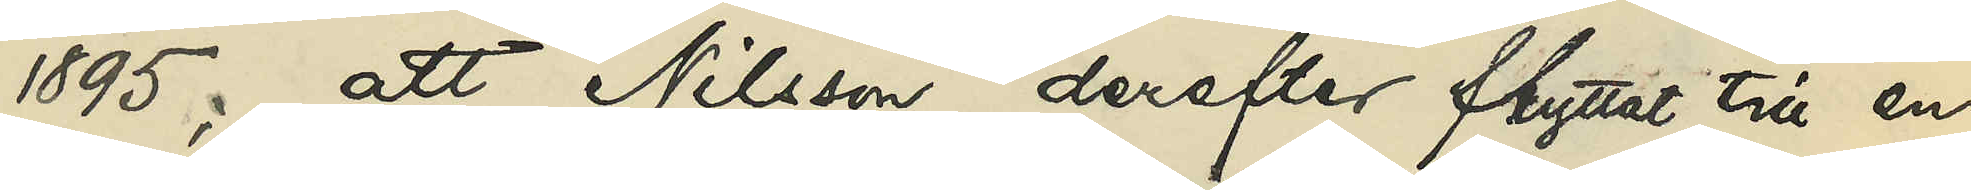1895; att Nilsson derefter flyttat till en
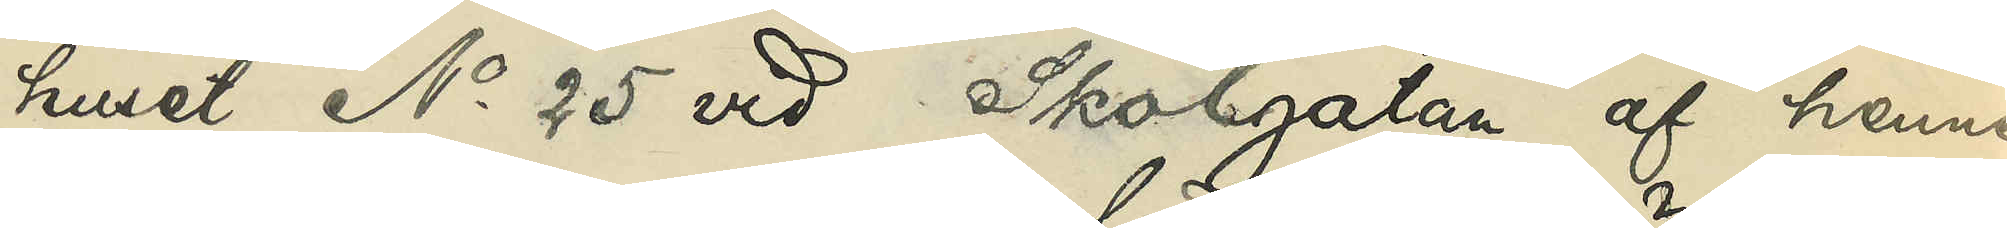huset No 25 vid Skolgatan af henne
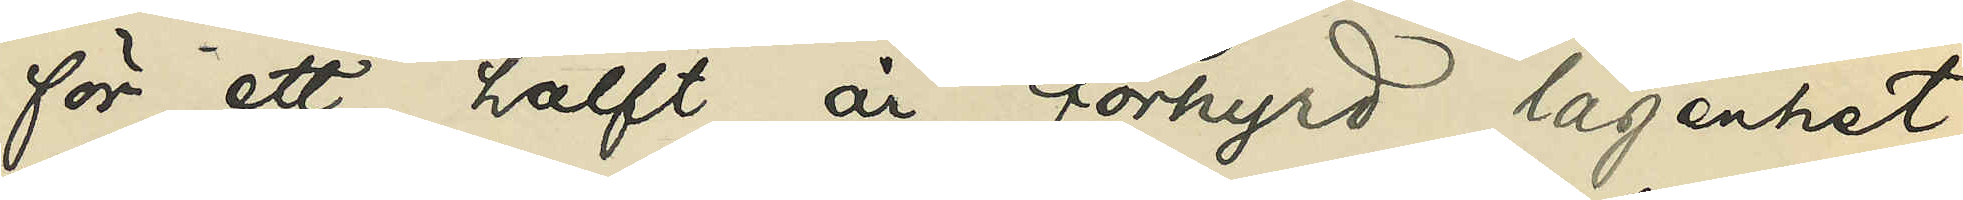för ett halft år förhyrd lägenhet,
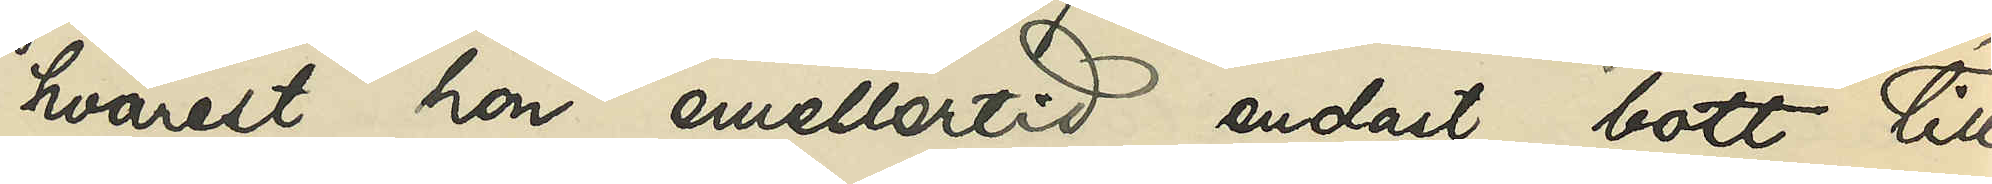hvarest hon emellertid endast bott till
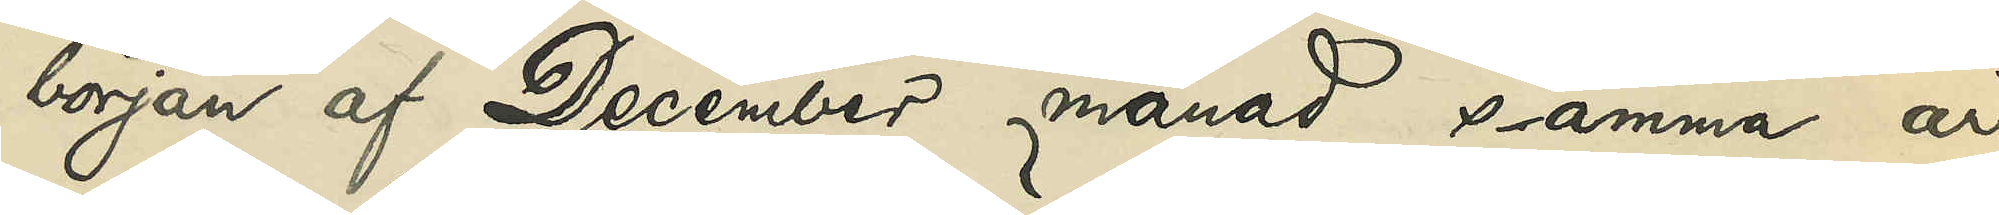början af December månad samma år,
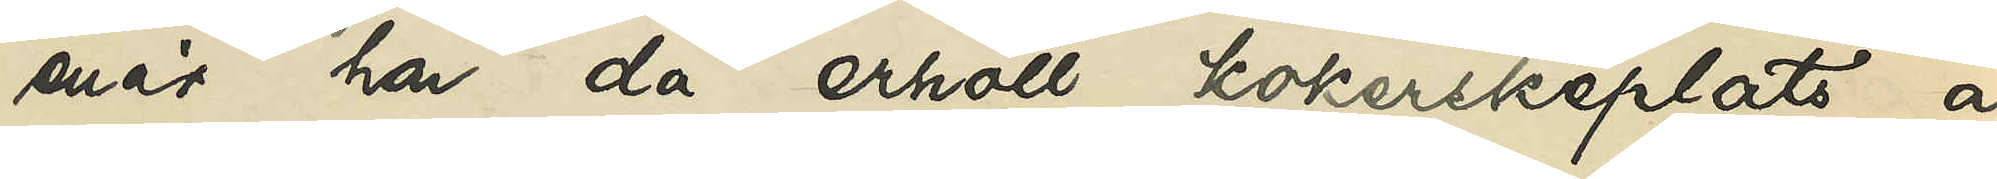enär hon då erhöll kokerskeplats å
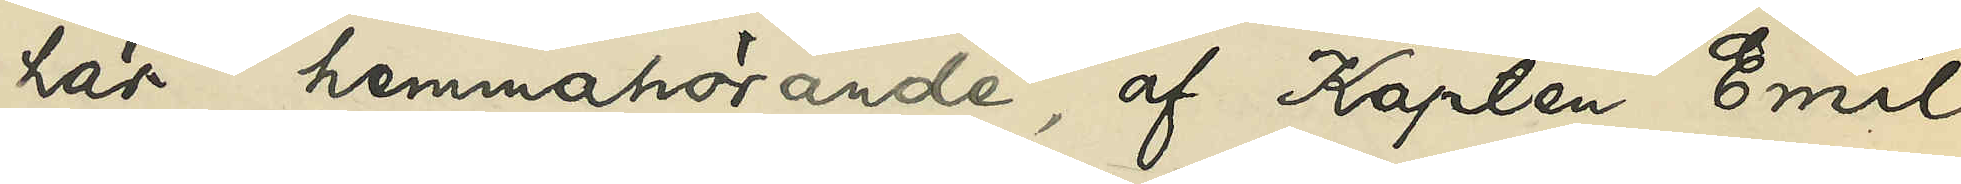här hemmahörande, af Kapten Emil
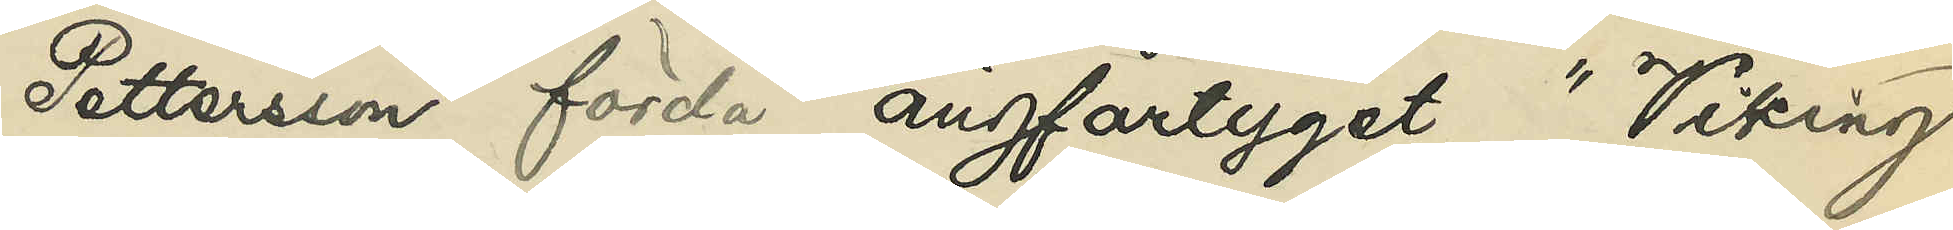Pettersson förda ångfartyget "Viking",
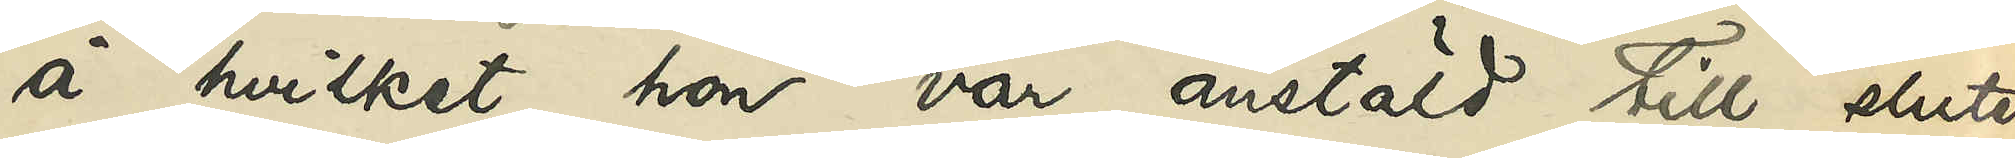å hvilket hon var anstäld till slutet
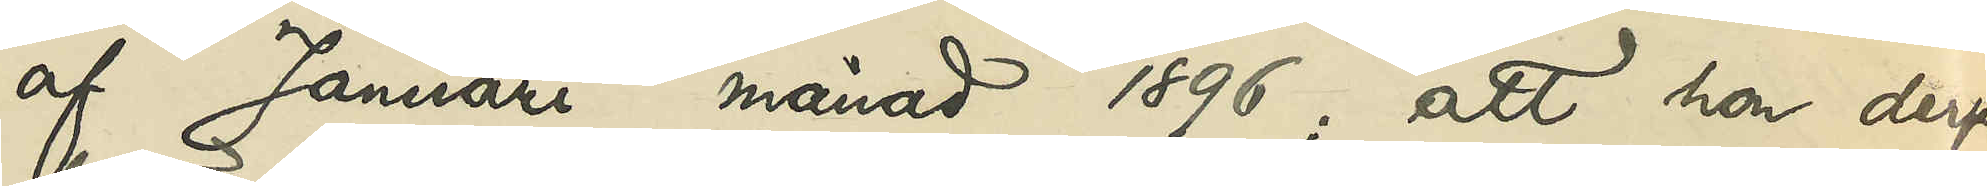af Januari månad 1896; att hon derpå
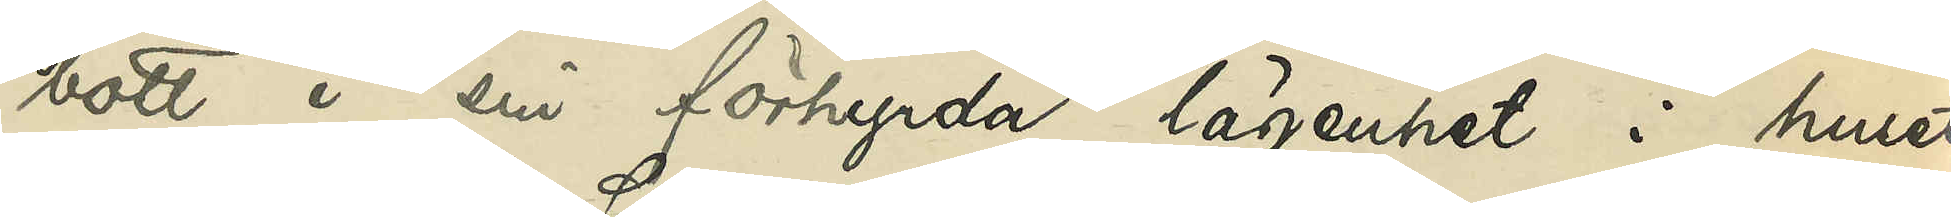bott i sin förhyrda lägenhet i huset
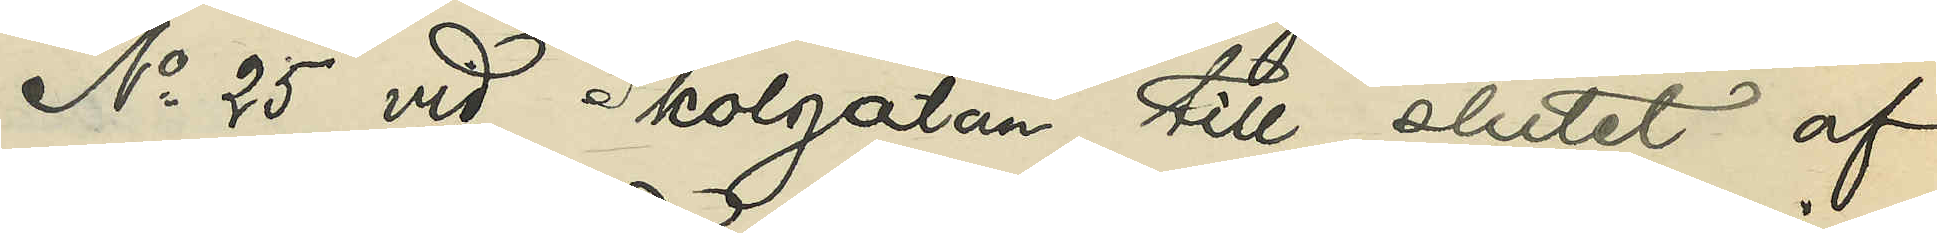No 25 vid Skolgatan till slutet af
